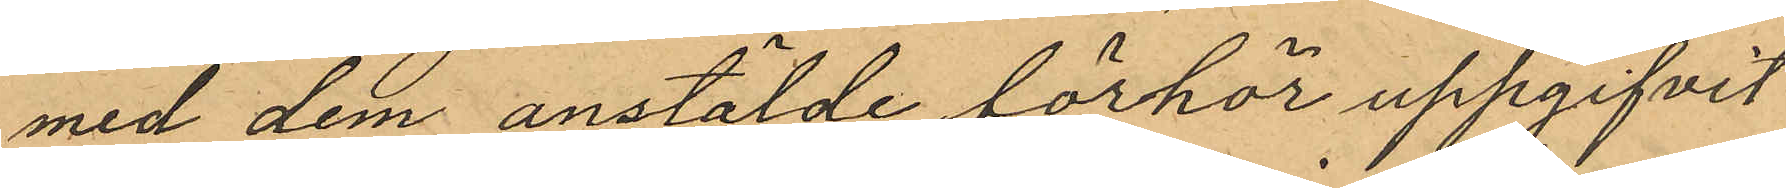med dem anstälde förhör uppgifvit
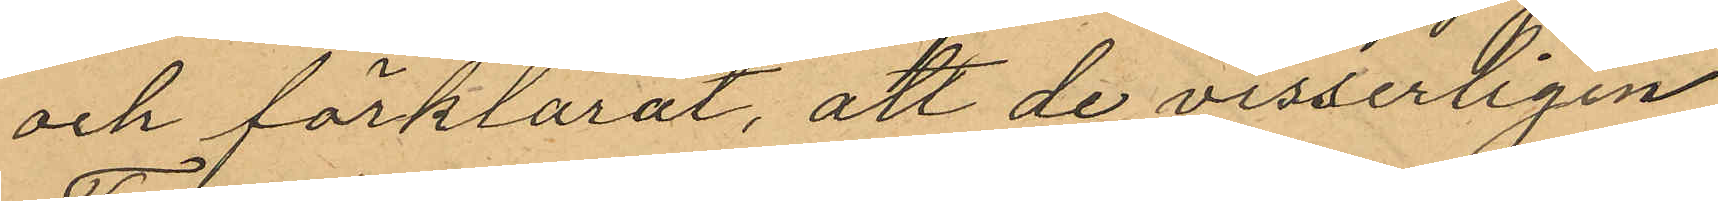och förklarat, att de visserligen
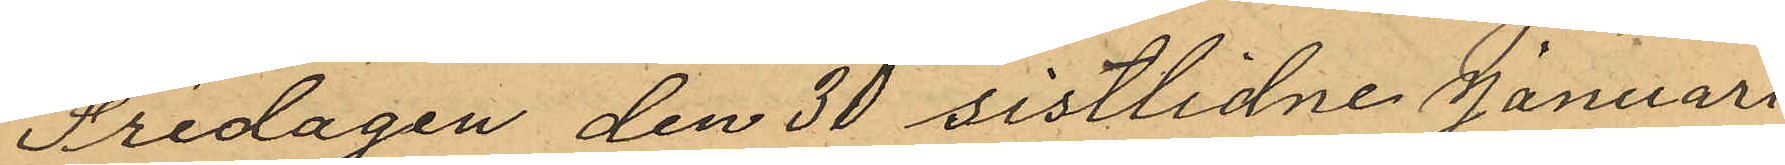Fredagen den 30 sistlidne Januari
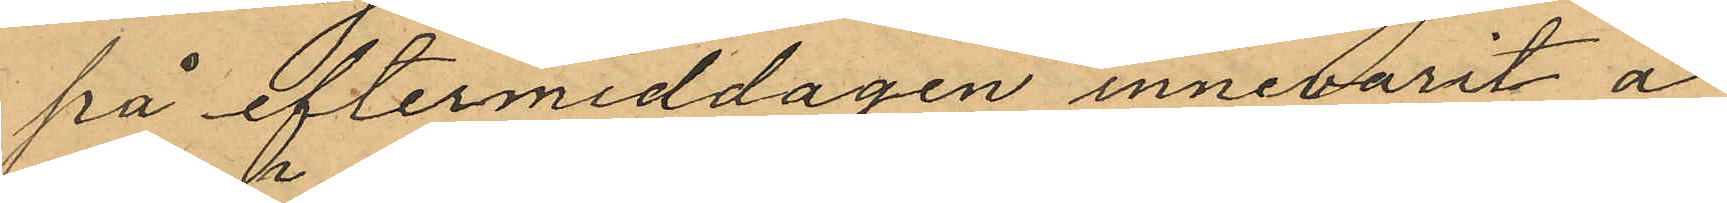på eftermiddagen innevarit å
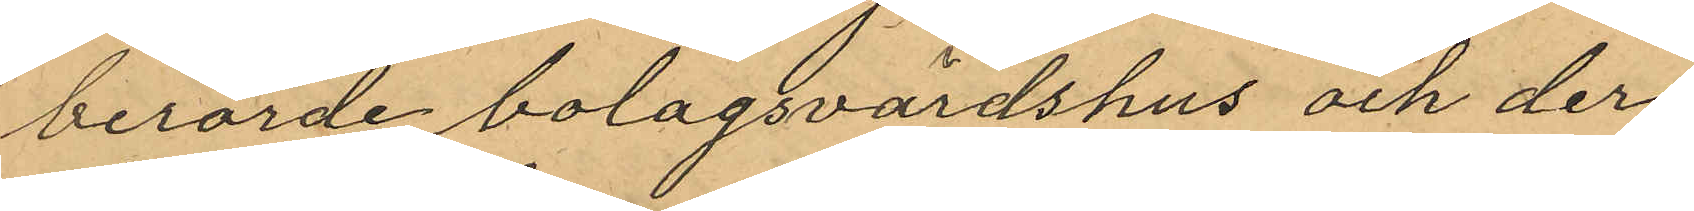berörde bolagsvärdshus och der
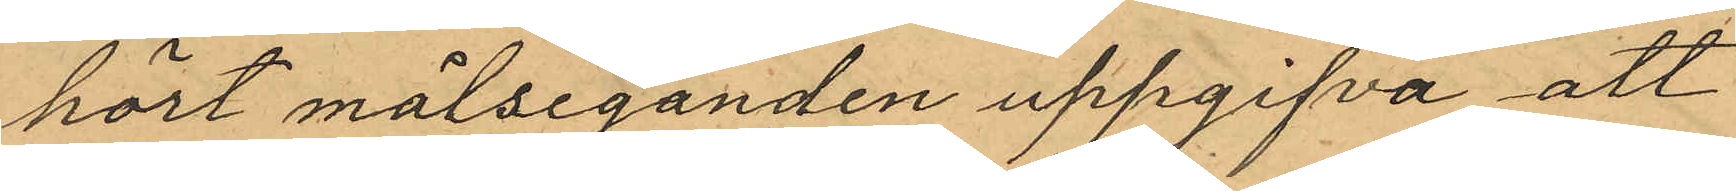hört målseganden uppgifva att
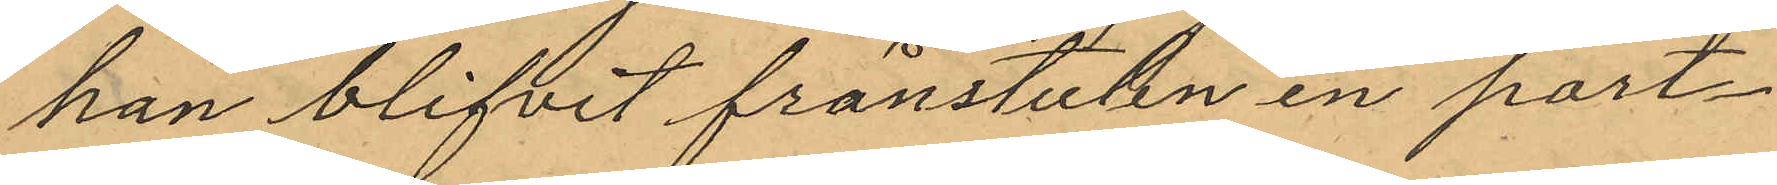han blifvit frånstulen en port¬
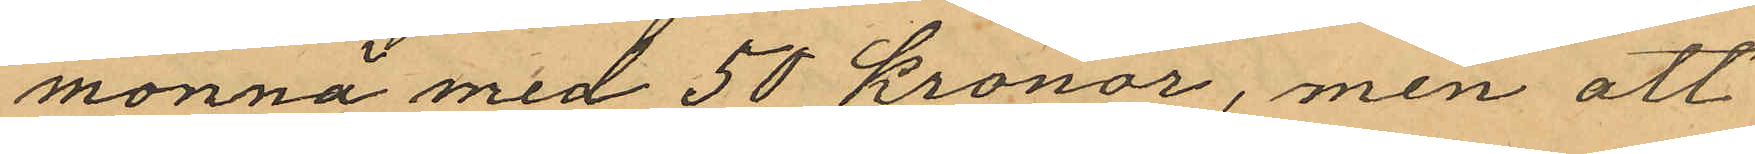monnä med 50 kronor, men att
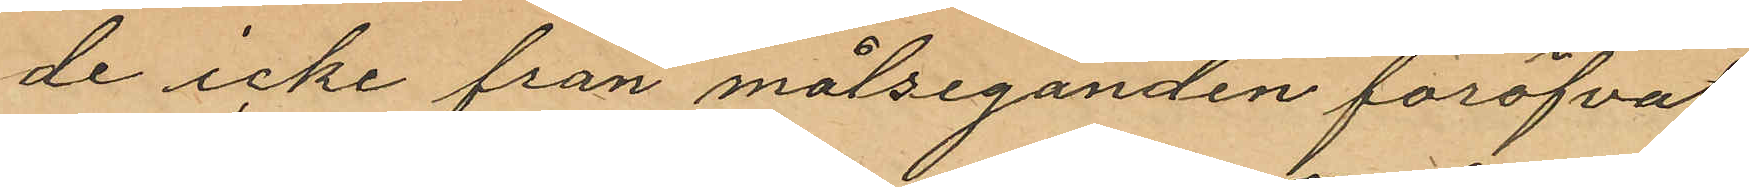de icke från målseganden föröfvat
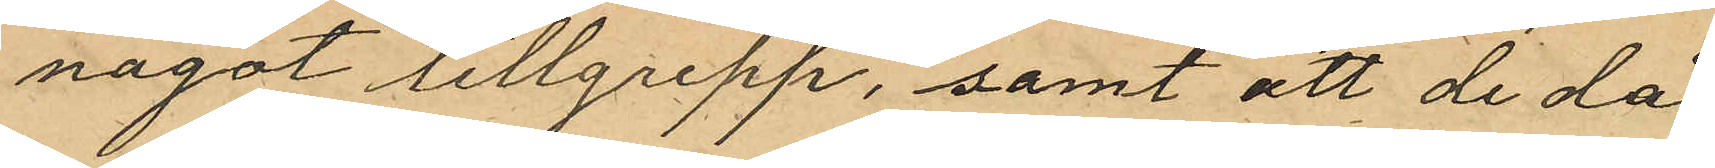något tillgrepp, samt att de då
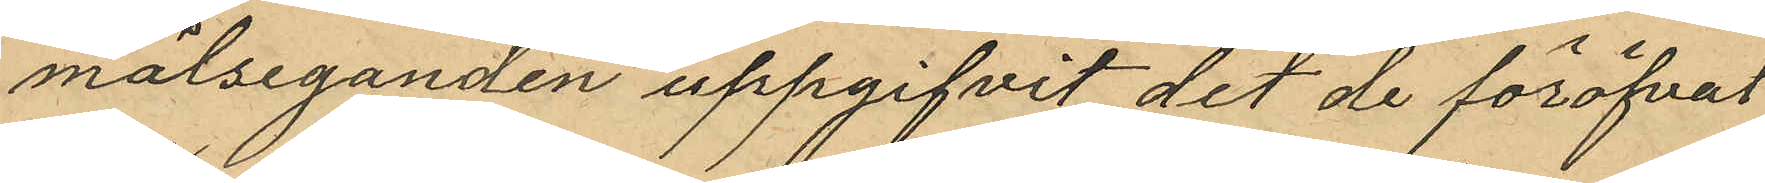målseganden uppgifvit det de föröfvat
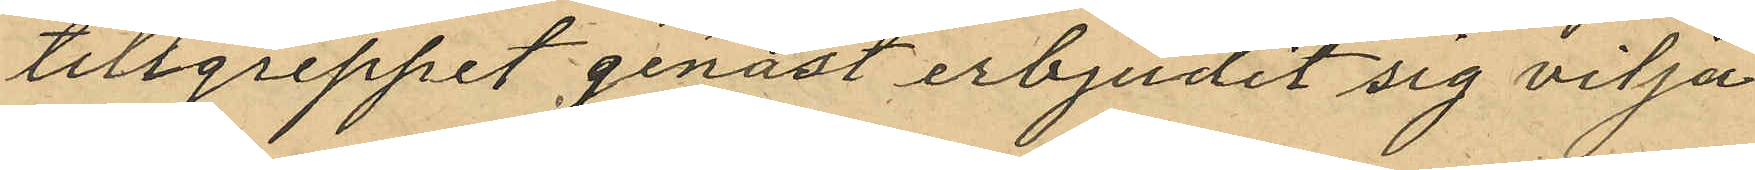tillgreppet genast erbjudit sig vilja
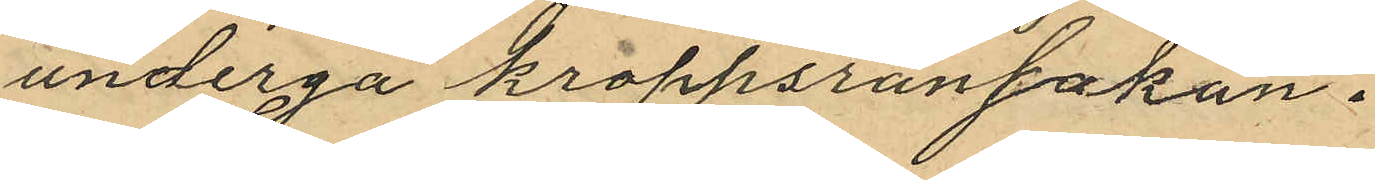undergå kroppsransakan.
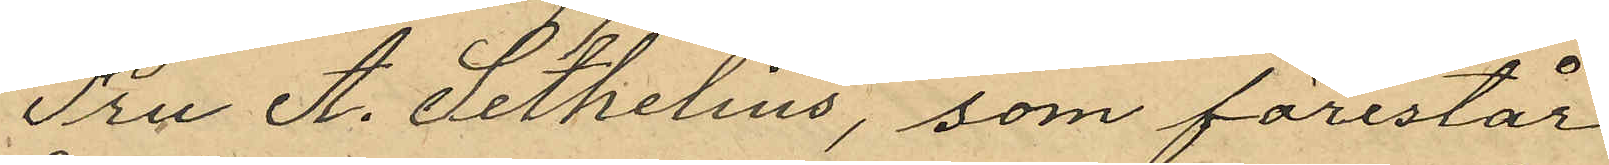Fru A. Sethelius, som förestår
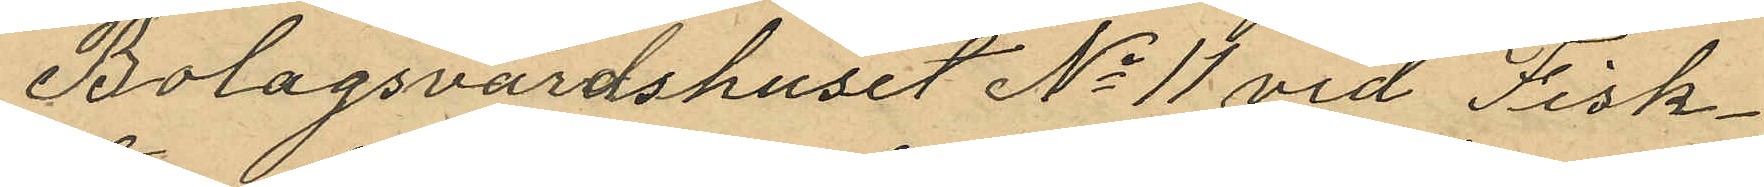Bolagsvärdshuset No 11 vid Fisk¬
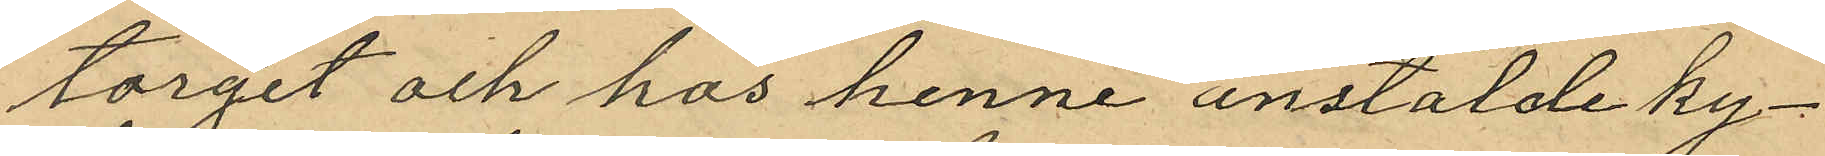torget och hos henne anstälde ky¬
